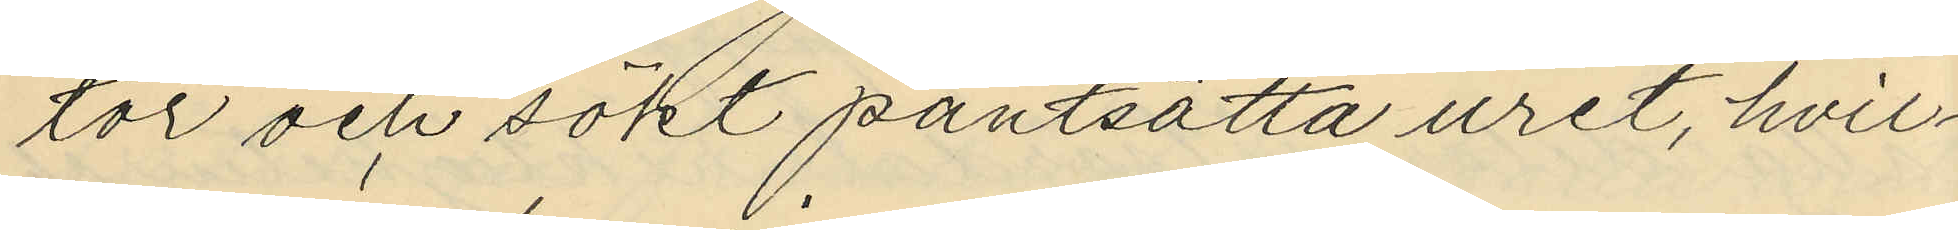tor och sökt pantsätta uret, hvil¬
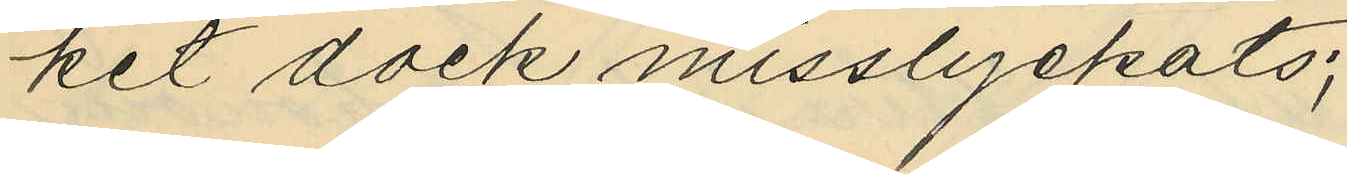ket dock misslyckats;
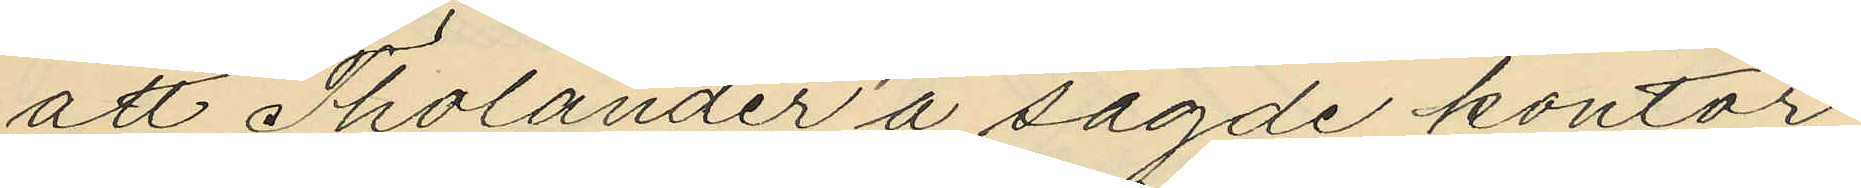att Tholander å sagde kontor
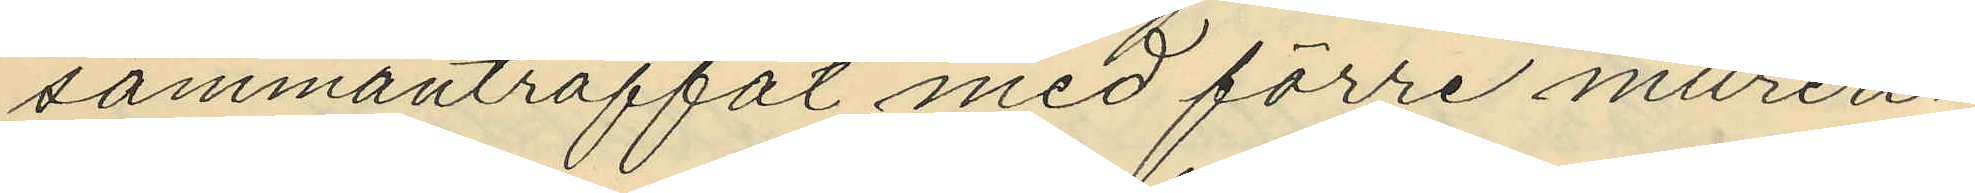sammanträffat med förre mureri¬
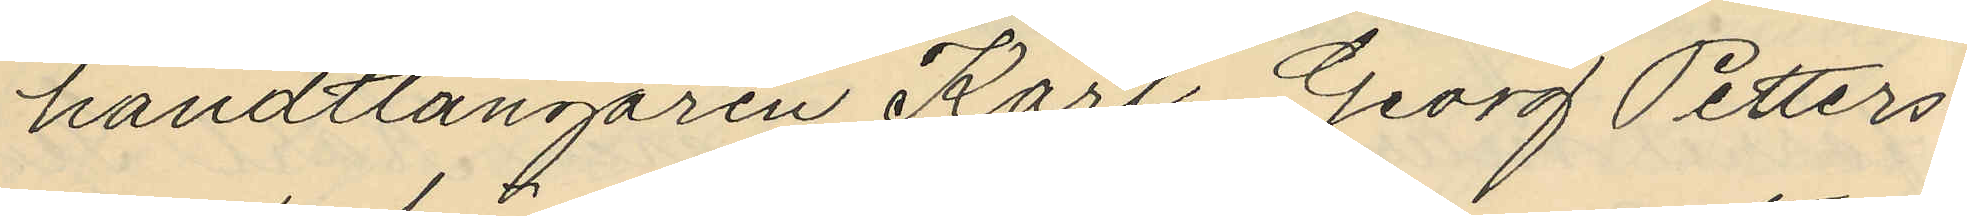handtlangaren Karl Georg Petters¬
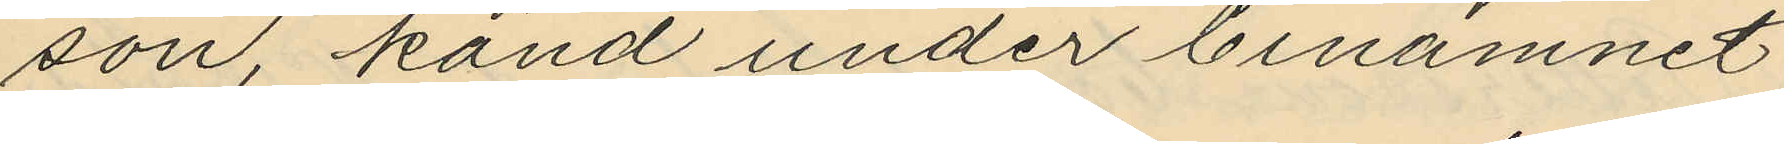son känd under binamnet
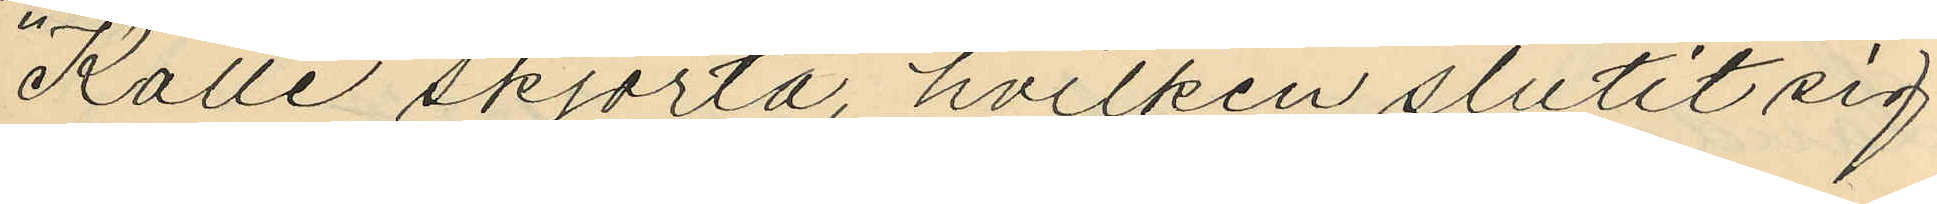"Kalle skjorta", hvilken slutit sig
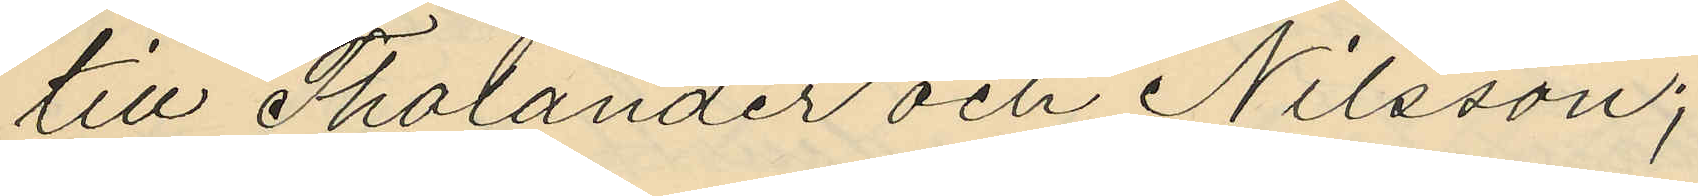till Tholander och Nilsson;
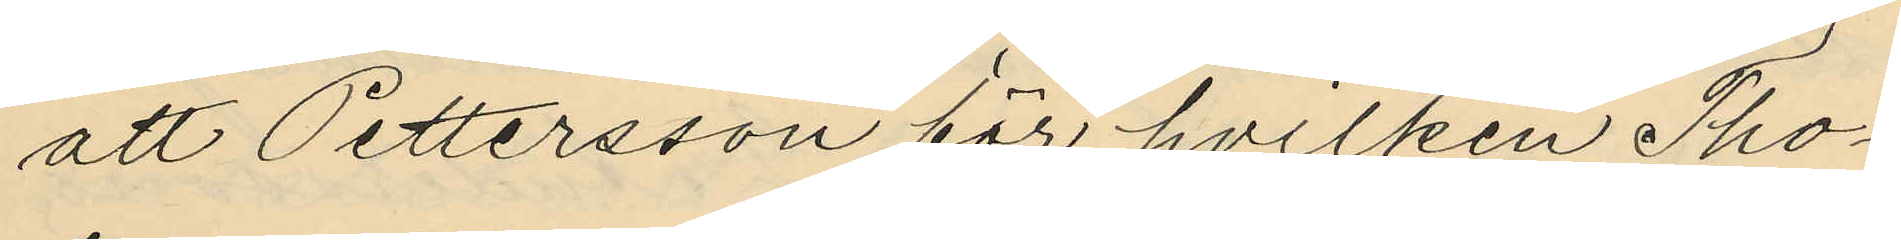att Pettersson för hvilken Tho¬
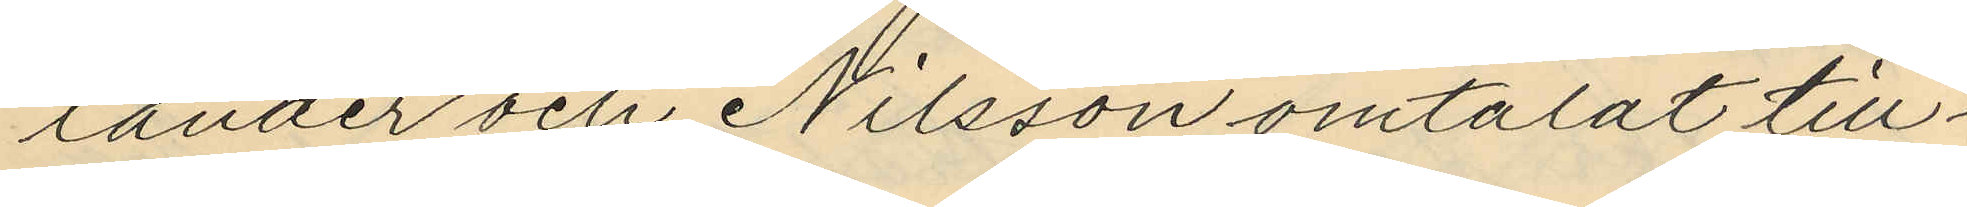lander och Nilsson omtalat till¬
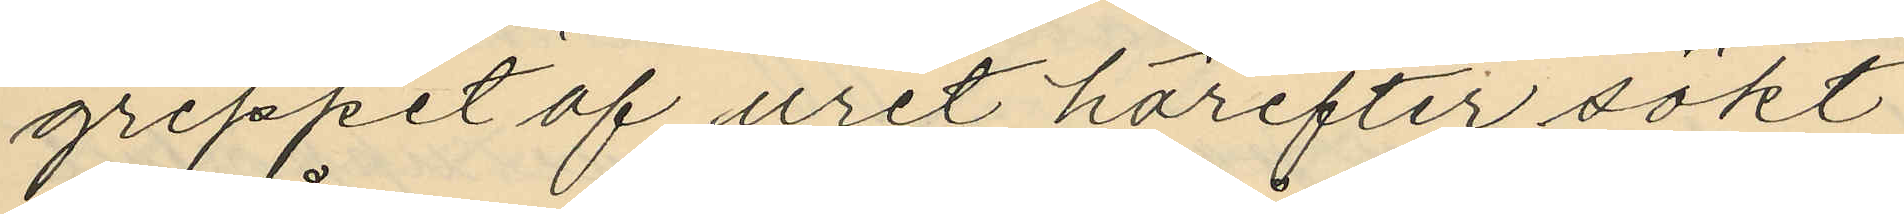greppet af uret härefter sökt
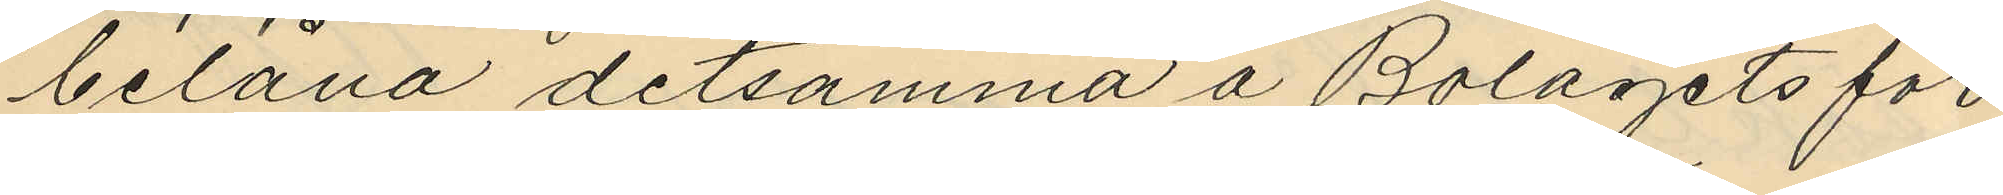belåna detsamma å Bolagets för
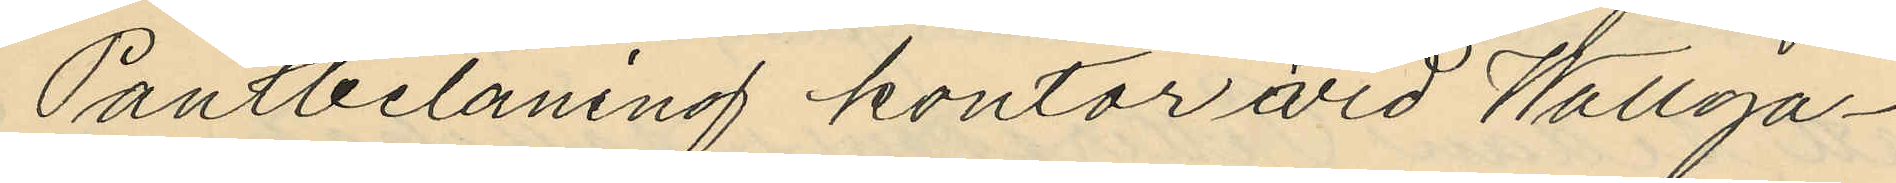Pantbelåning kontor vid Wallga¬
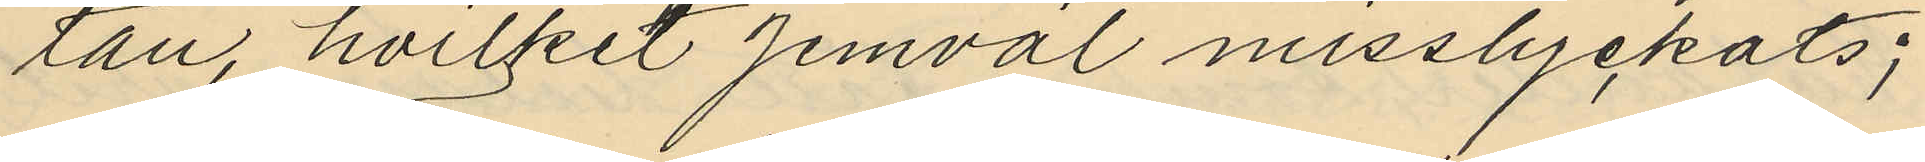tan, hvilket jemväl misslyckats;
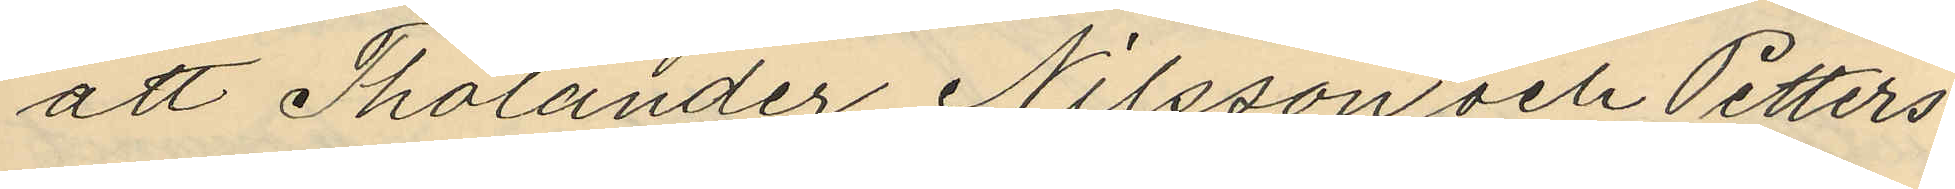att Tholander, Nilsson och Petters¬
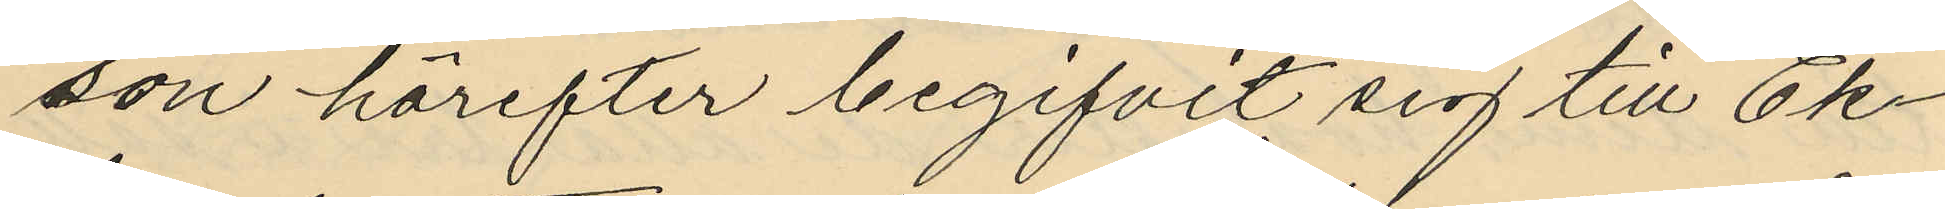son härefter begifvit sig till Ek¬
